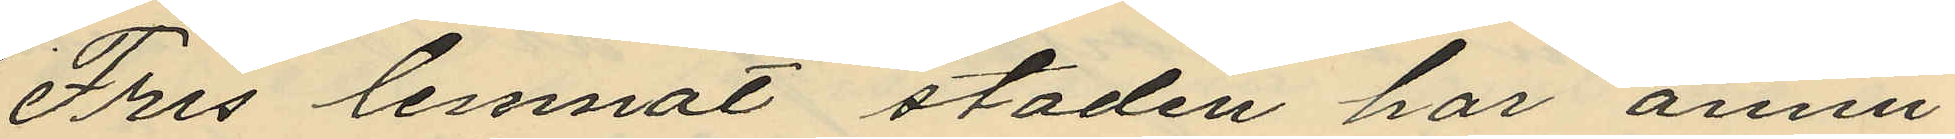Fris lemnat staden har ännu
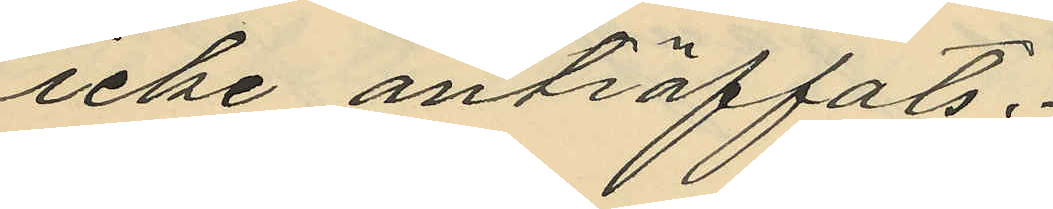icke anträffats.
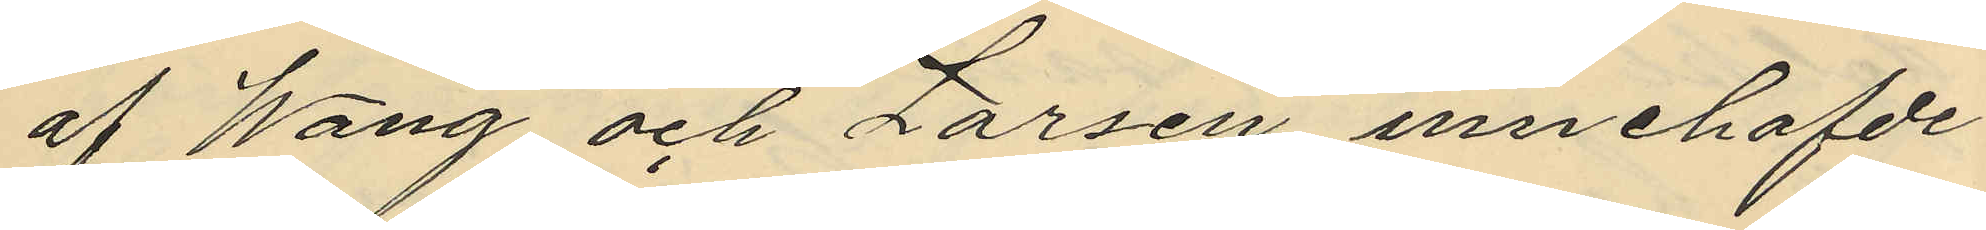af Wang och Larsen innehafvde
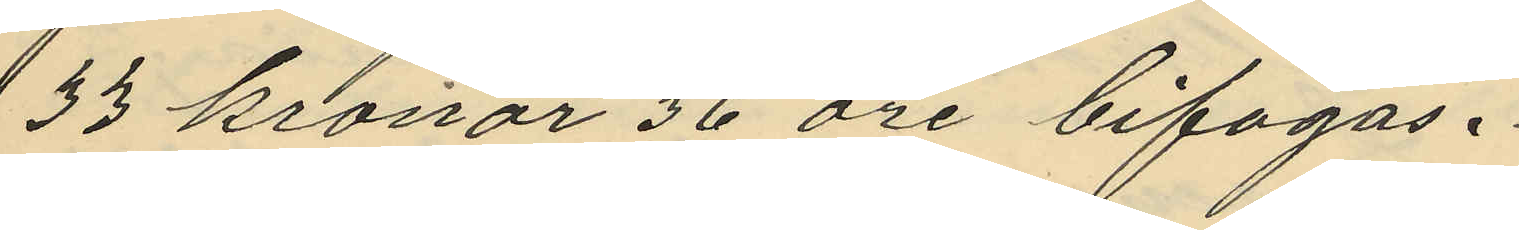33 kronor 36 öre bifogas.
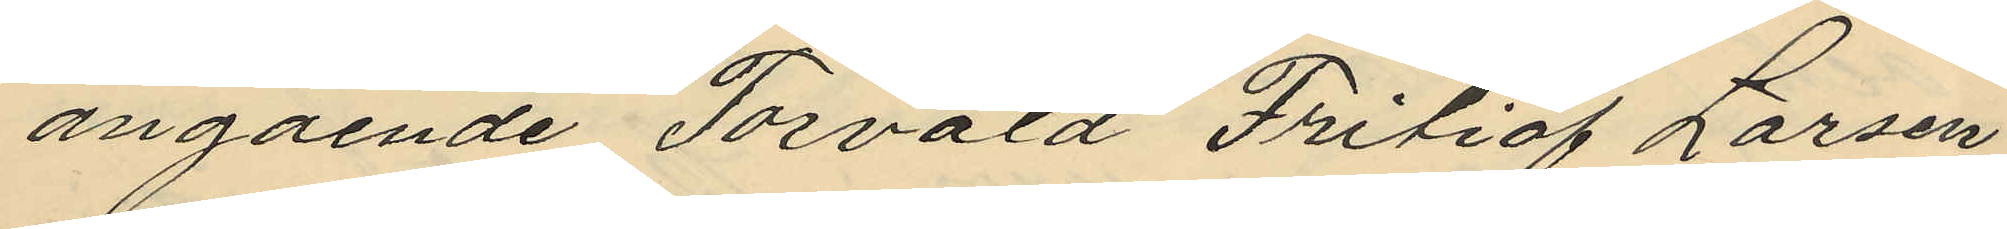angående Törvald Fritiof Larsen
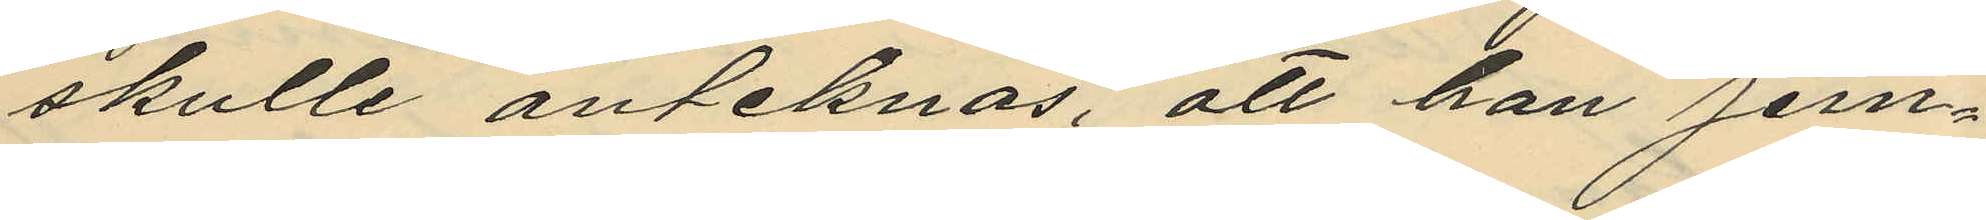skulle anteknas, att han jem¬
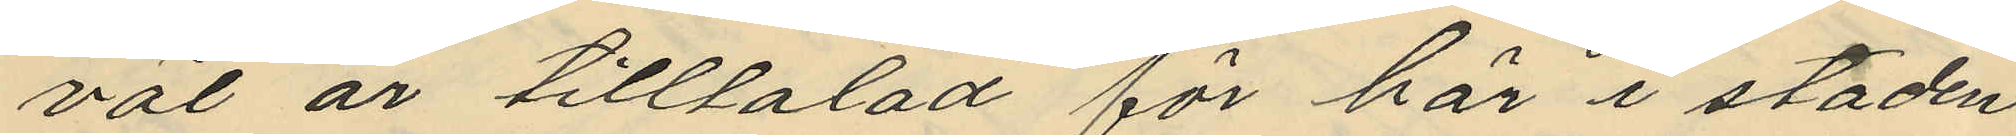väl är tilltalad för här i staden
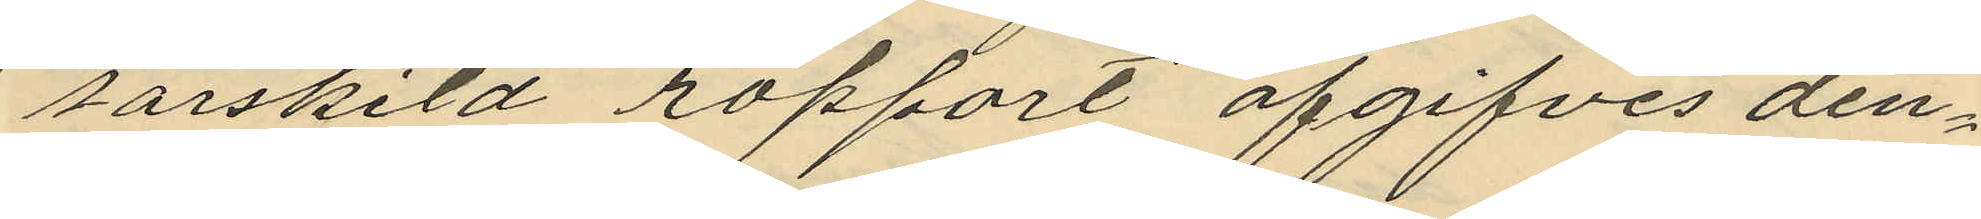särskild rapport afgifves den¬
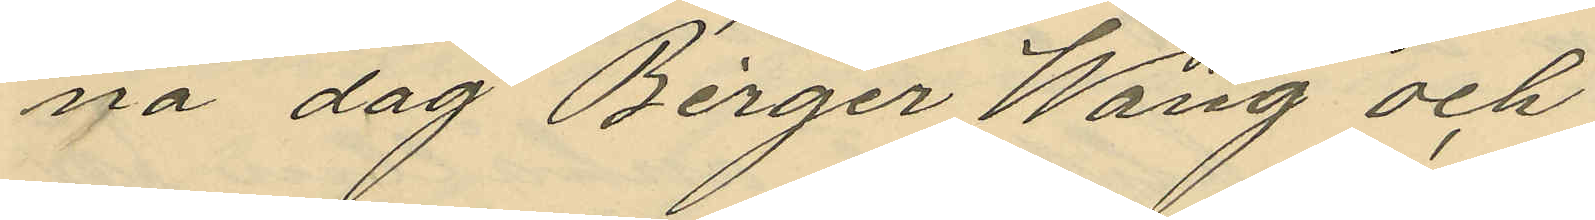na dag Birger Wang och
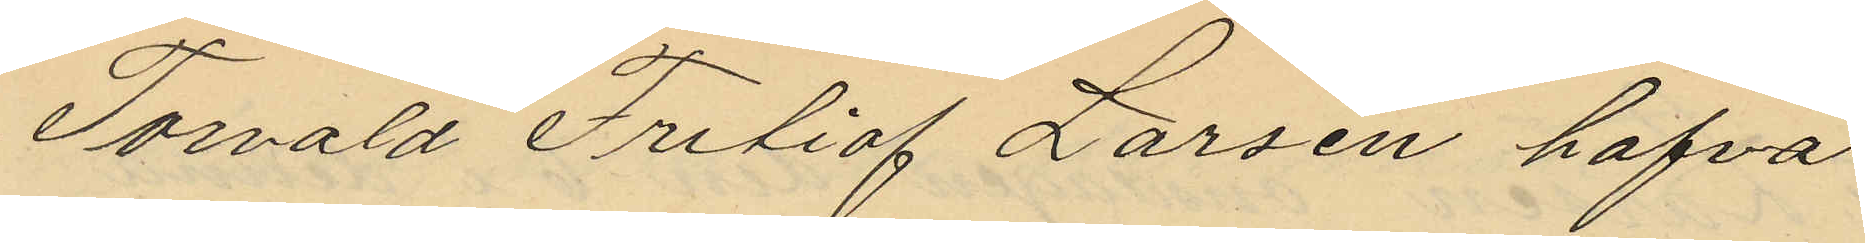Torvald Fritiof Larsen hafva
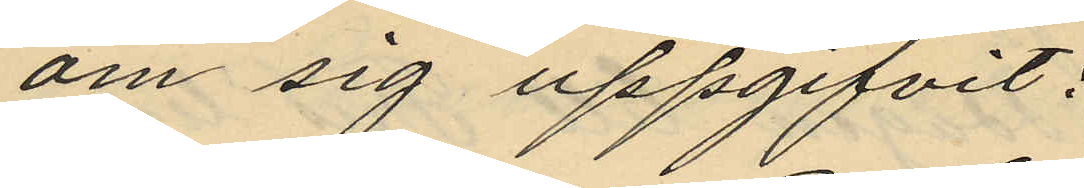om sig uppgifvit:
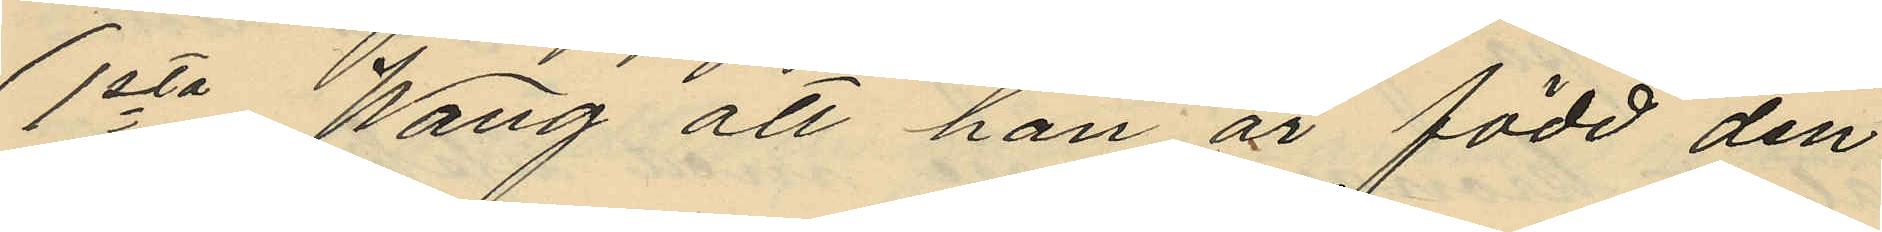1sta Wang att han är född den
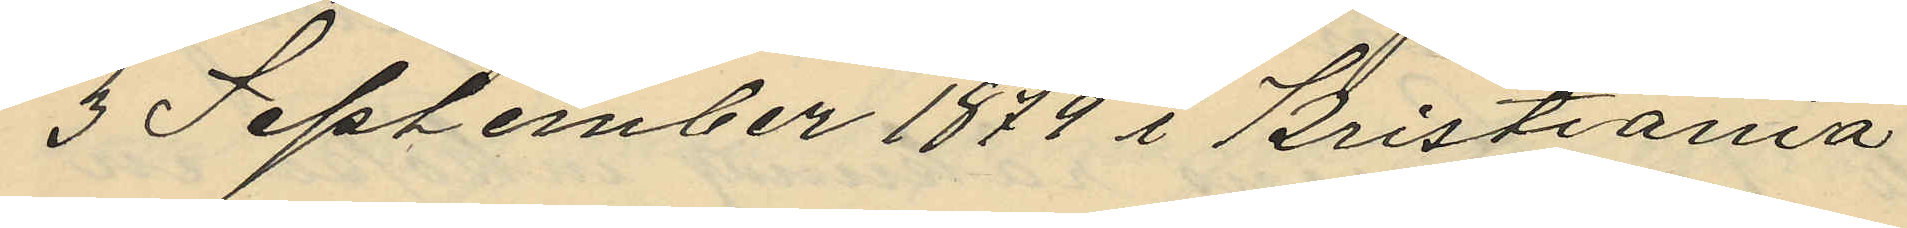3 September 1878 i Kristiania
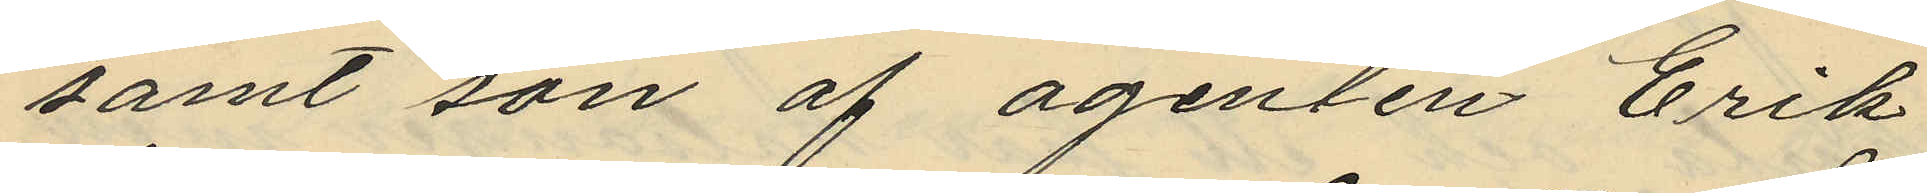samt son af agenten Erik
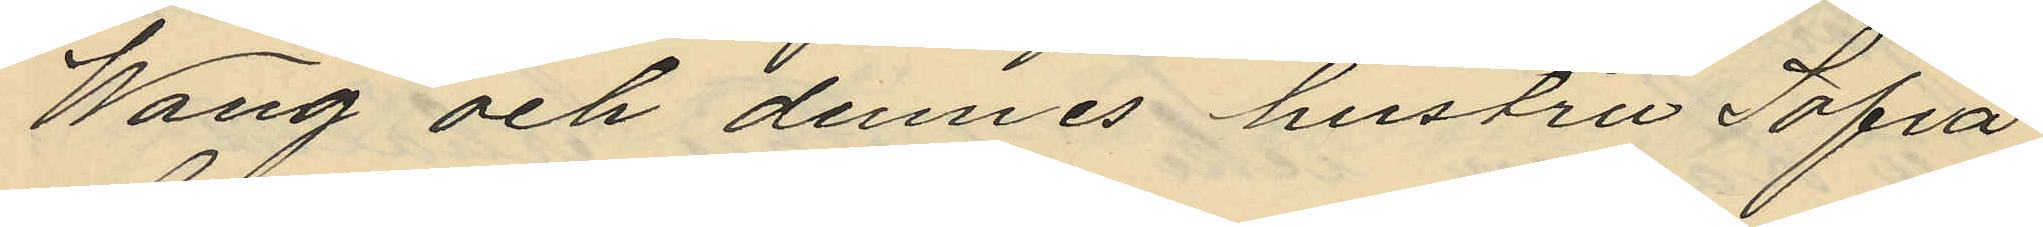Wang och dennes hustru Sofia
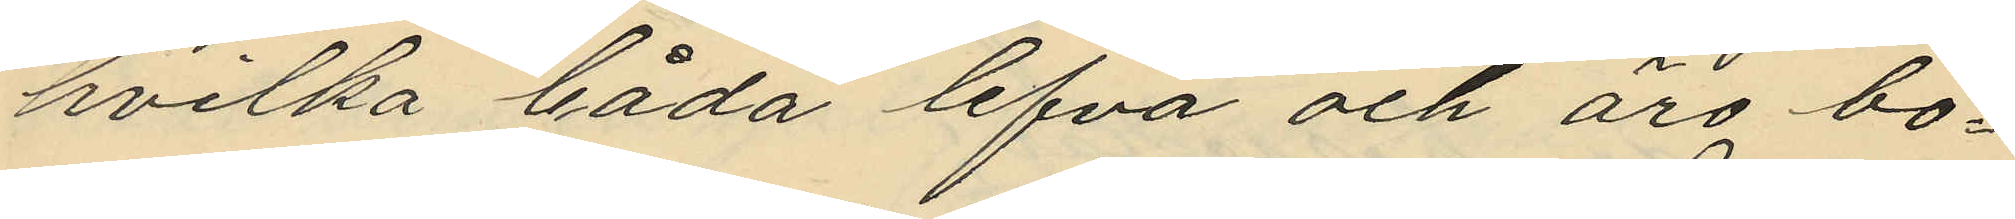hvilka båda lefva och äro bo¬
